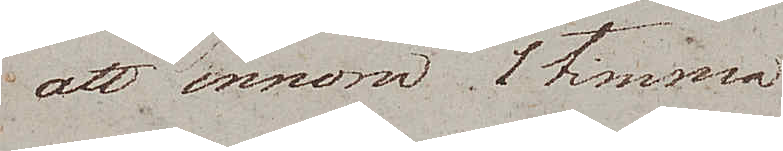att innom 1 timma
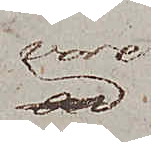vore
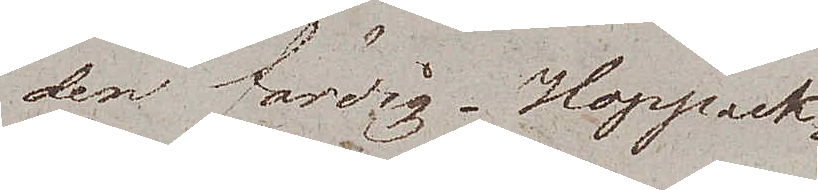den färdig. Hoppack¬
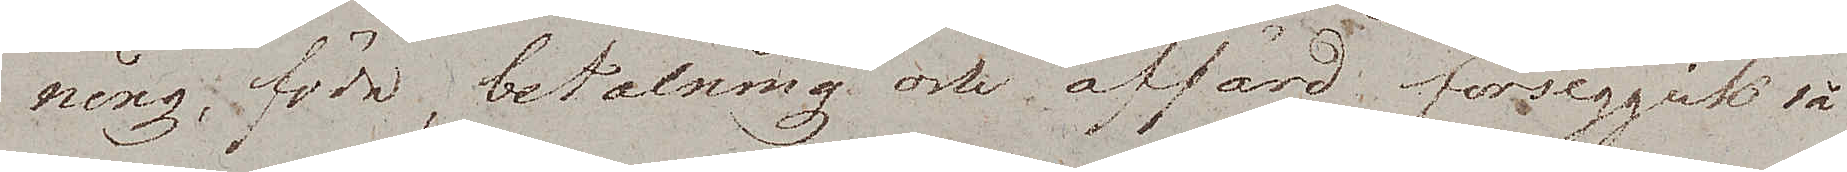ning, föda, betalning och affärd, försiggick så
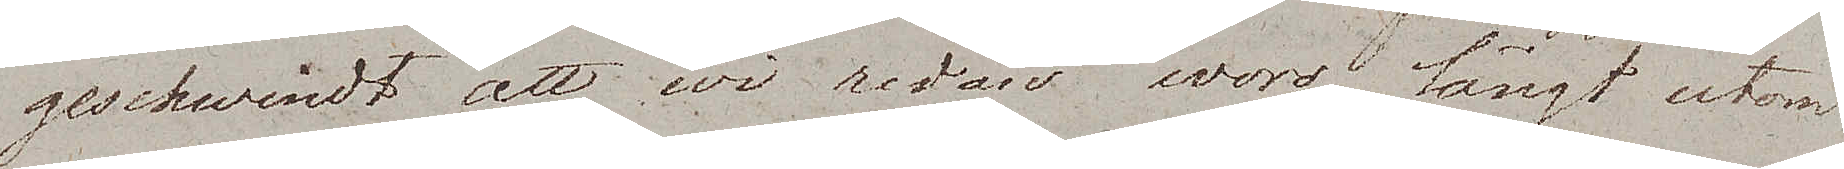geschwindt att wi redan woro långt utom
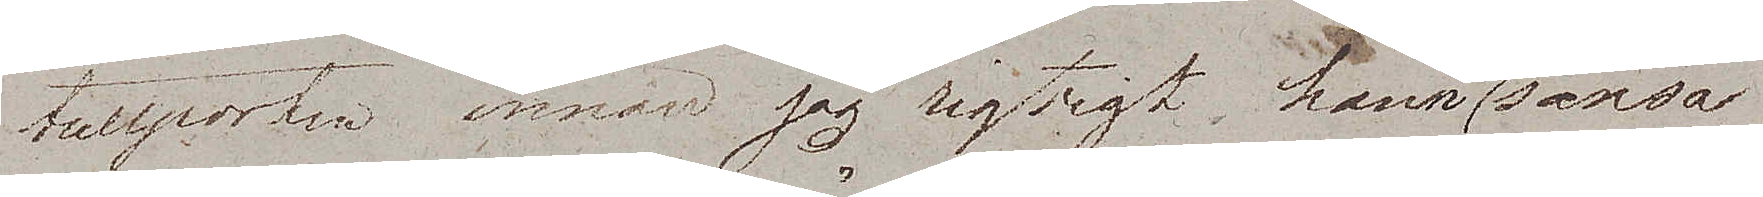tullporten innan jag rigtigt hann att sansa
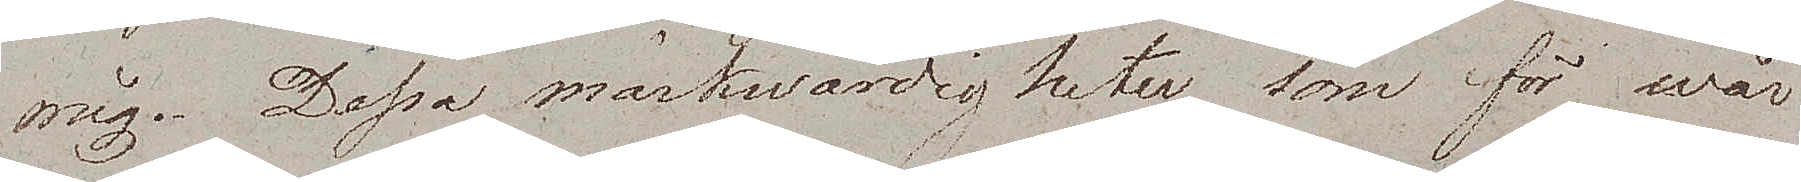mig. Dessa märkwärdigheter som för wår
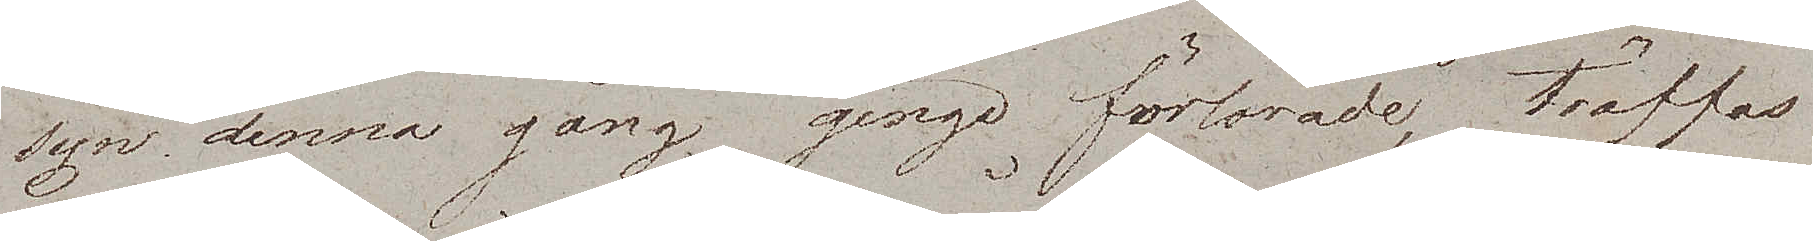syn denna gång gingo förlorade, träffas
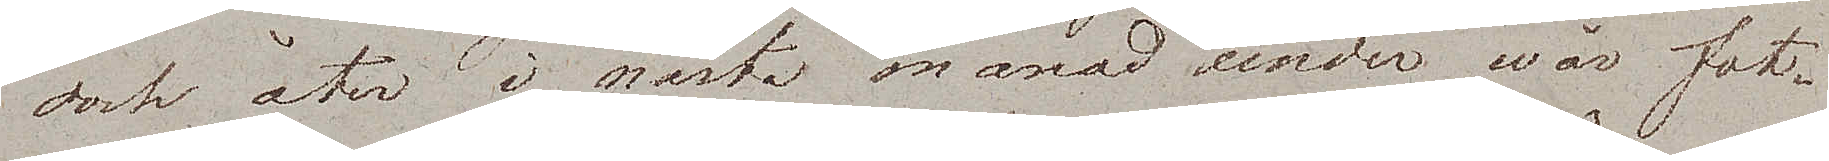dock åter i nästa månad under wår fot¬
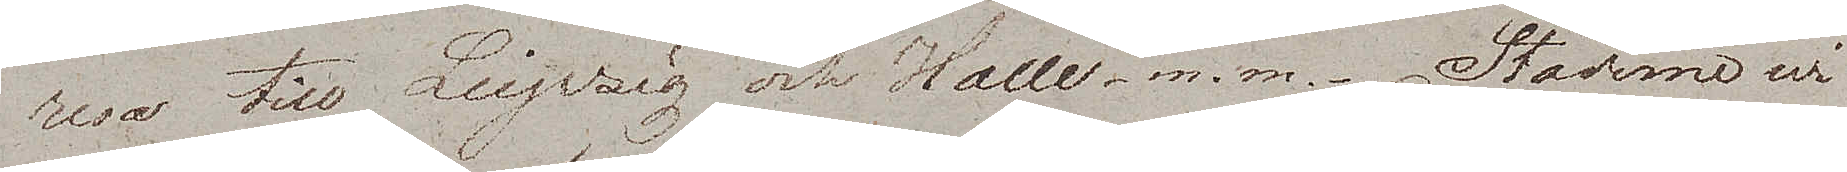resa till Leipzig och Halle. m.m. Städerne wi
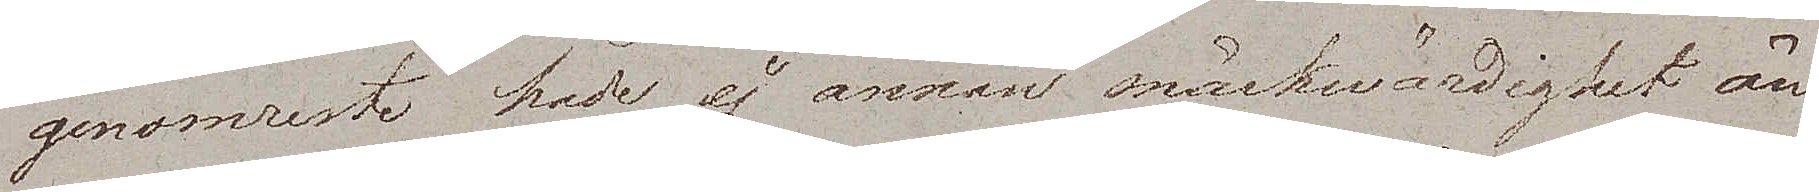genomreste hade ej annan märkwärdighet än
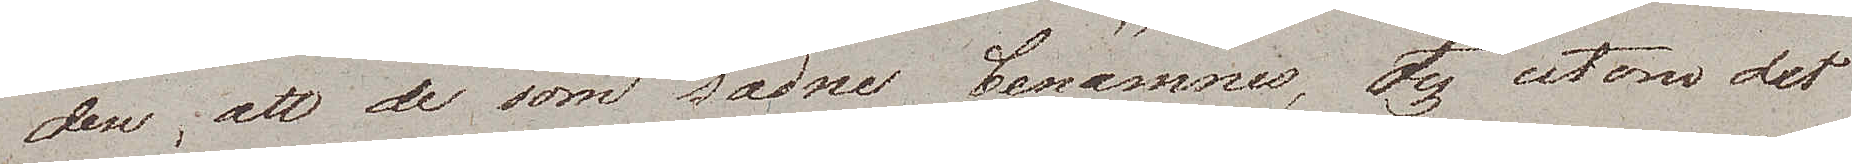den, att de som sådne benämnes, ty utom det
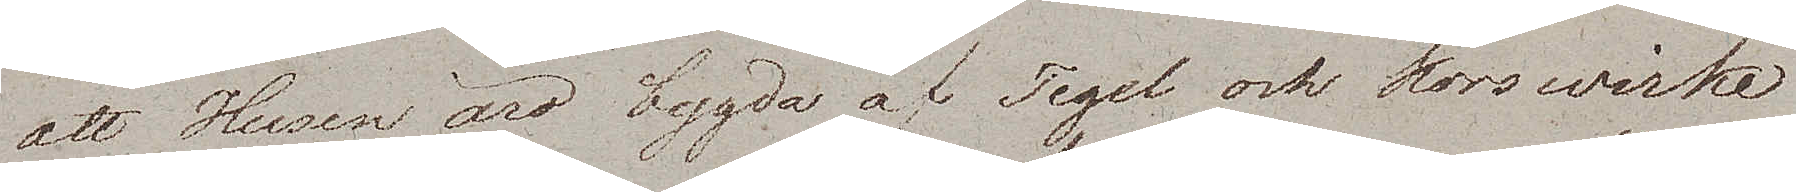att Husen äro bygda af Tegel och Korswirke
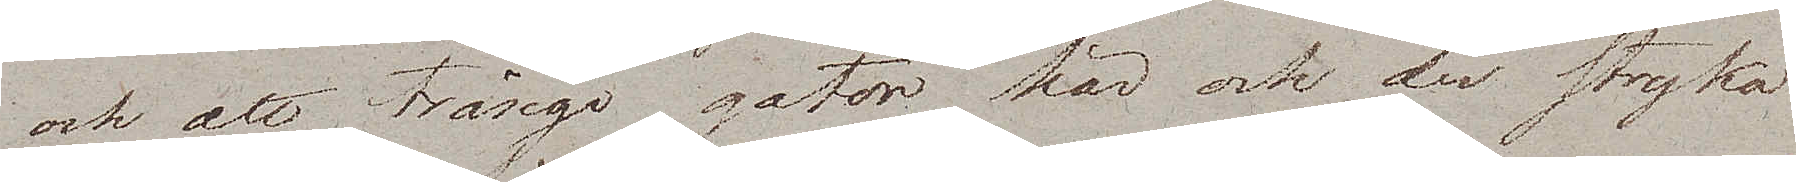och att trånga gator här och der stryka
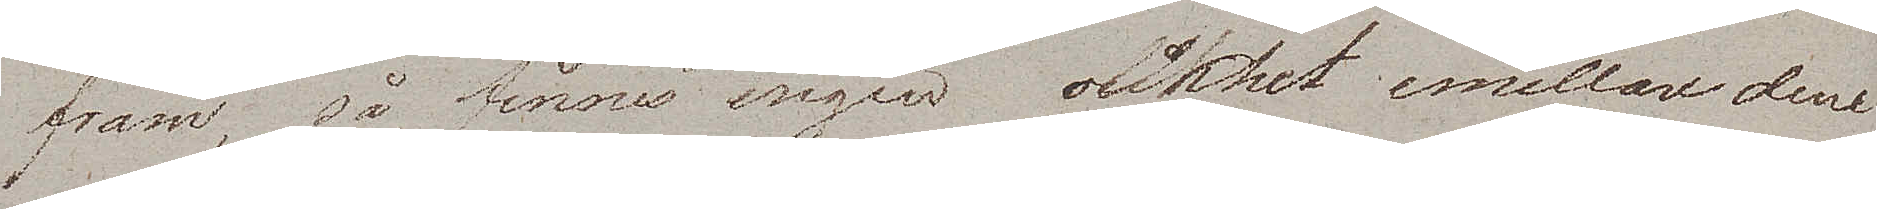fram, så finnes ingen olikhet emellare dem
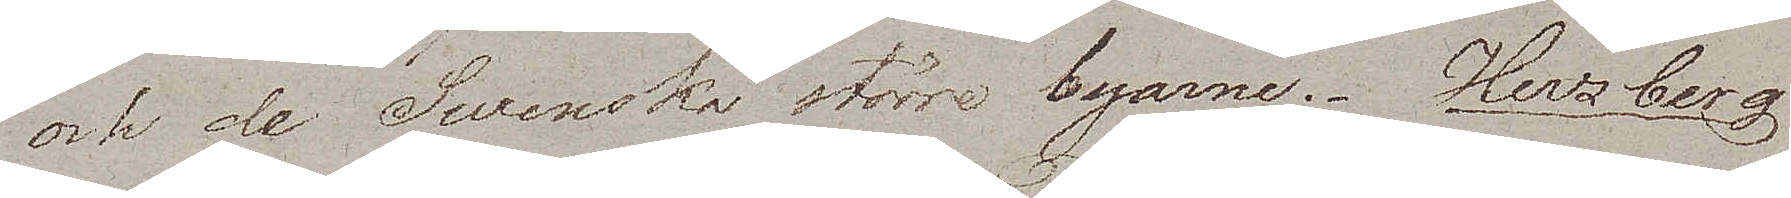och de Swenska större byarne. Herzberg
